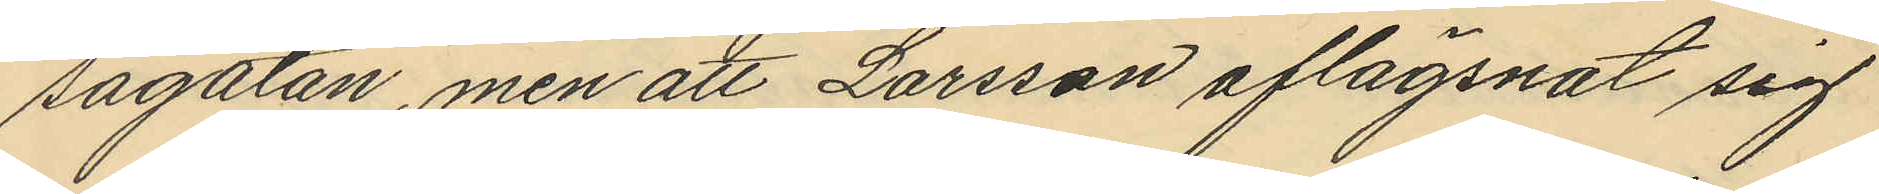sagatan, men att Larsson aflägsnat sig
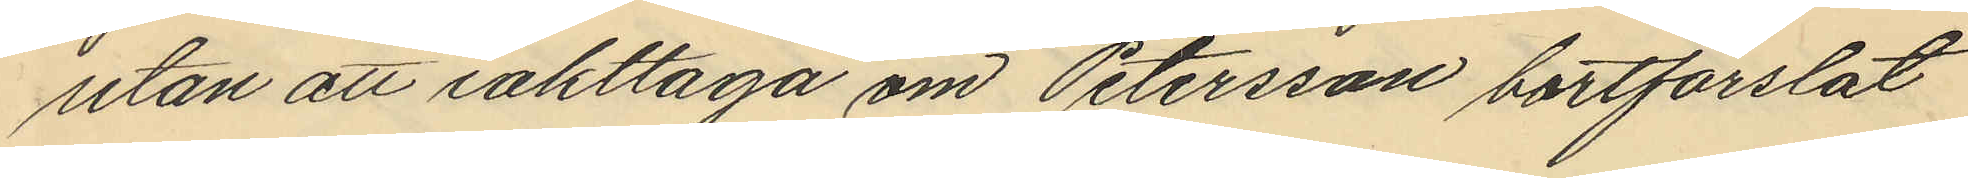utan att iakttaga om Petersson bortforslat
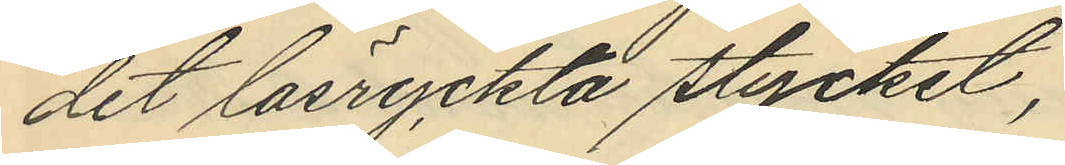det lösryckta stycket,
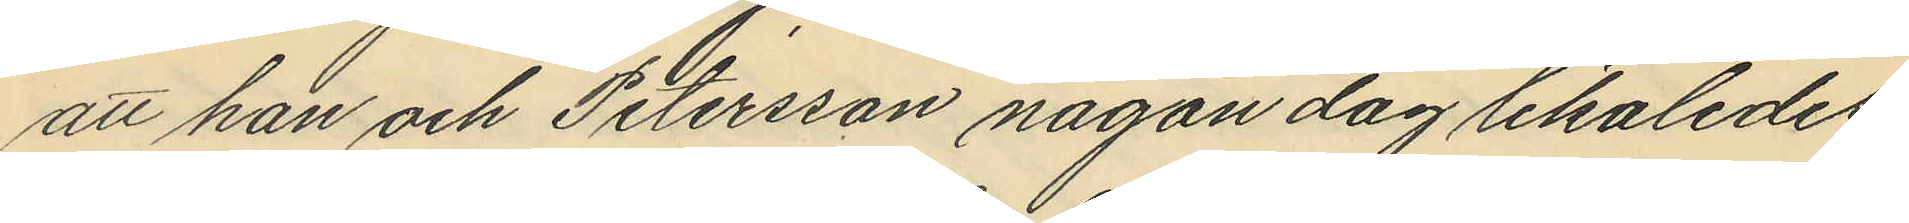att han och Petersson någon dag likaledes
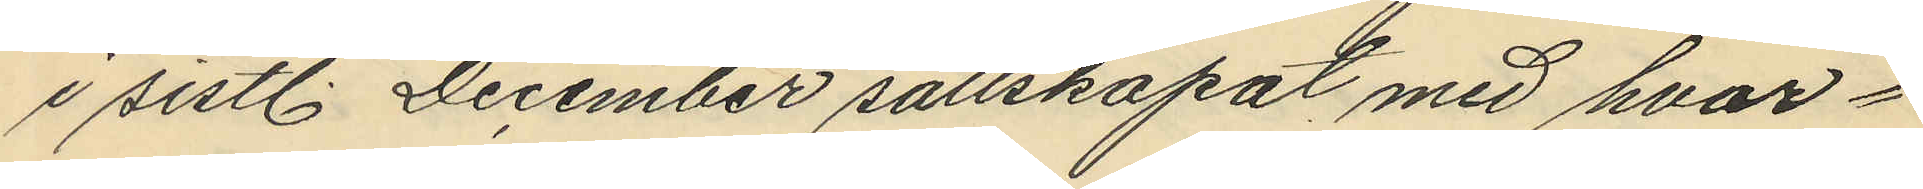i sistl. December sällskapat med hvar¬
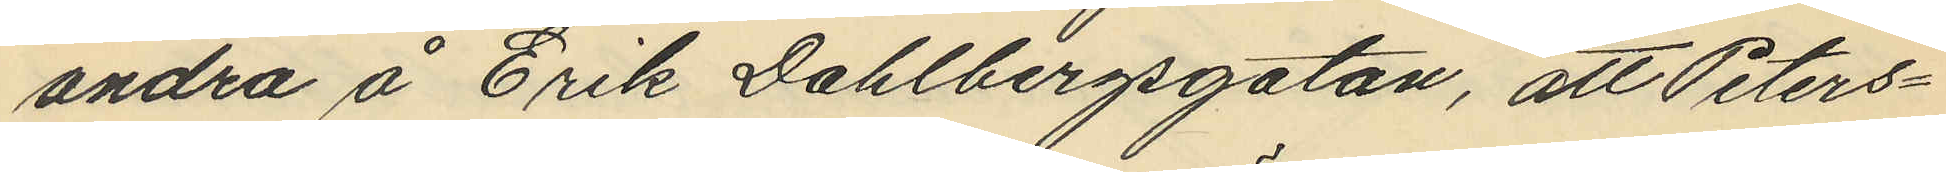andra å Erik Dahlbergsgatan, att Peters¬
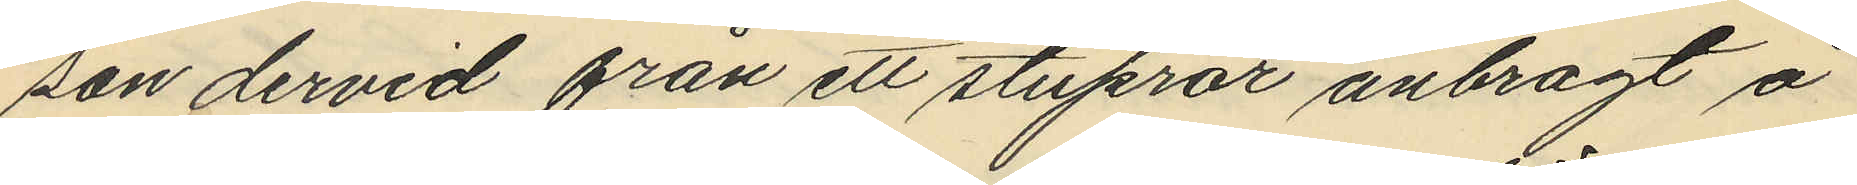son dervid från ett stuprör anbragt å
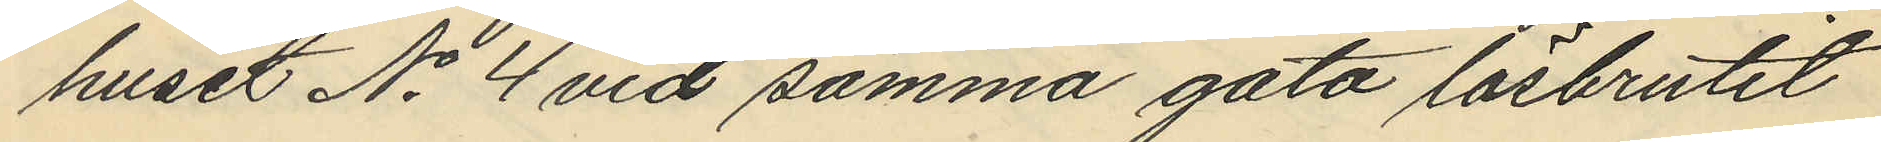huset No 4 vid samma gata lösbrutit
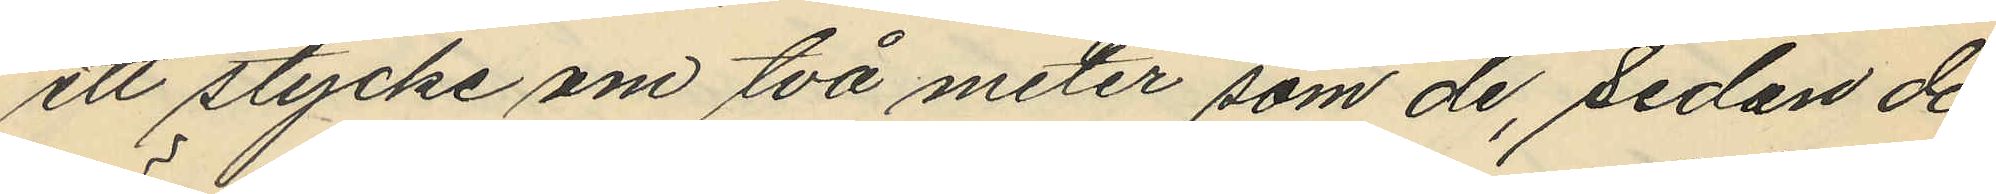ett stycke om två meter som de, sedan de
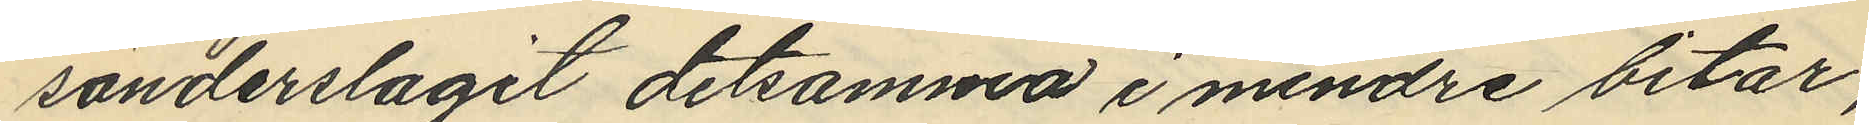sönderslagit detsamma i mindre bitar,
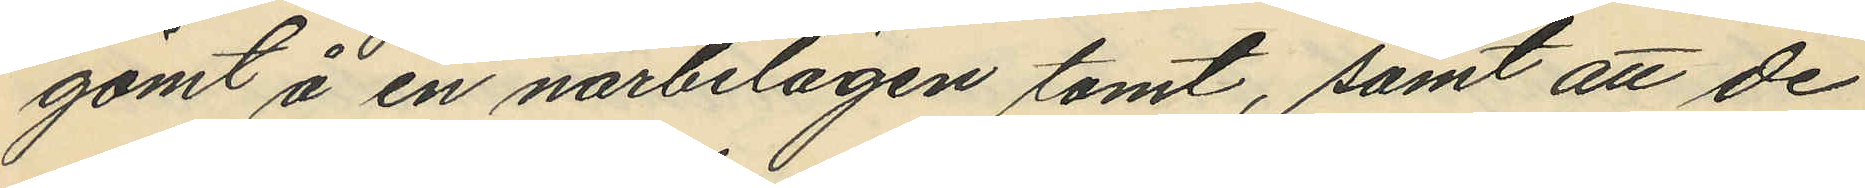gömt å en närbelägen tomt, samt att de
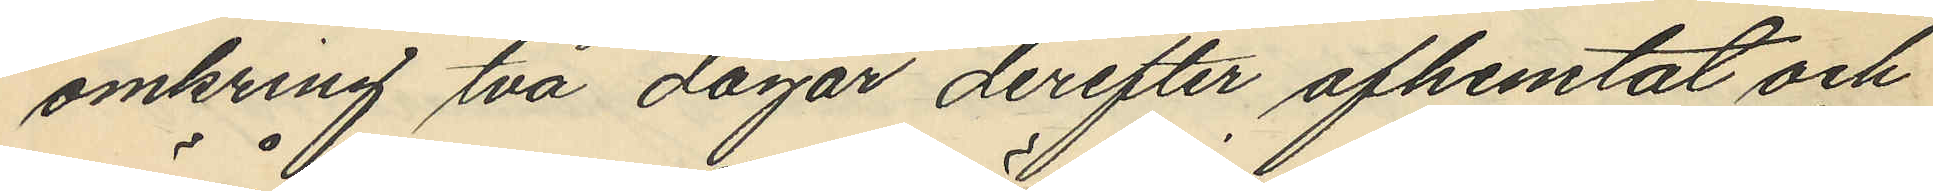omkring två dagar derefter afhemtat och
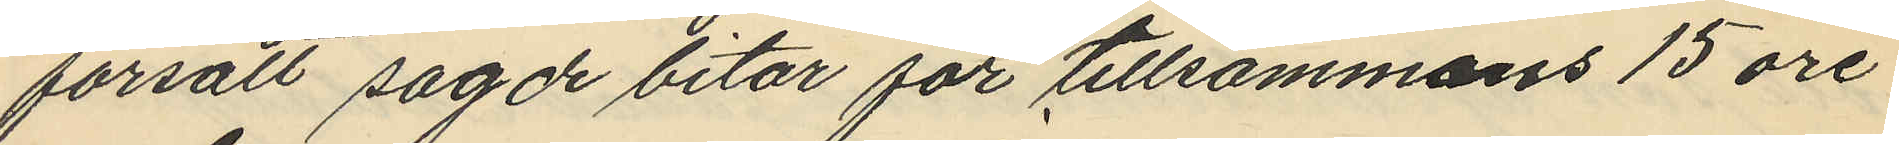försålt sagde bitar för tillsammans 15 öre
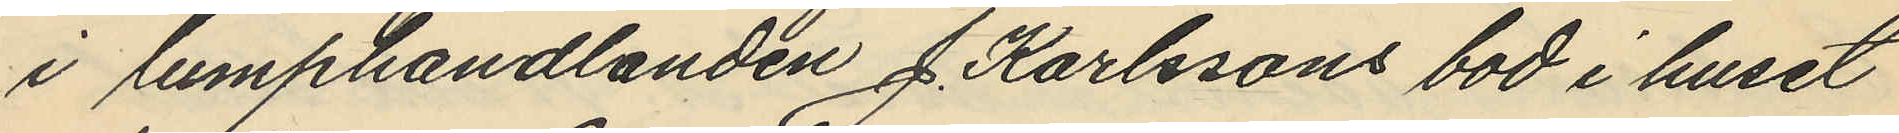i lumphandlanden J. Karlssons bod i huset
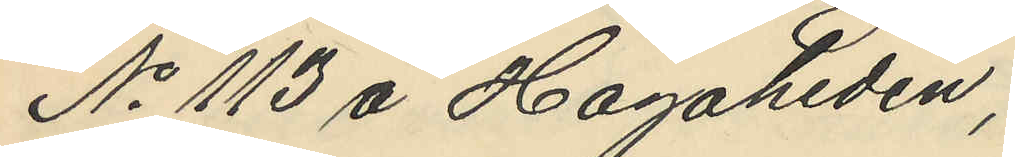No 113 å Hagaheden;
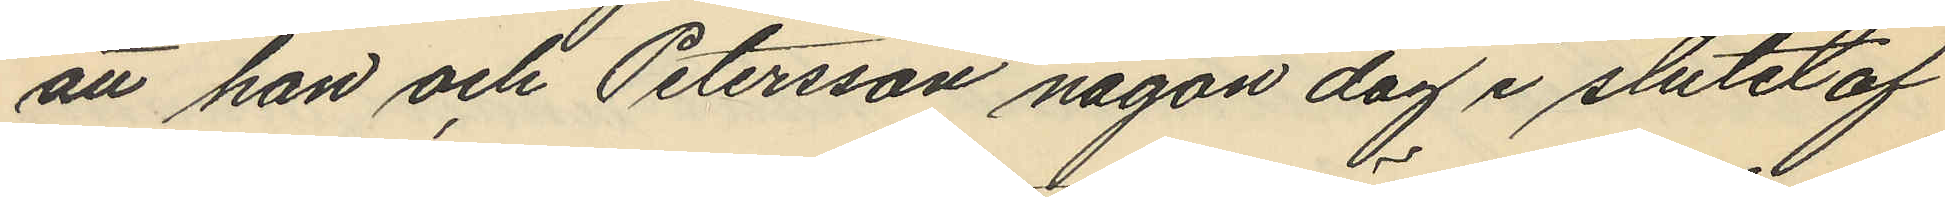att han och Petersson någon dag i slutet af
